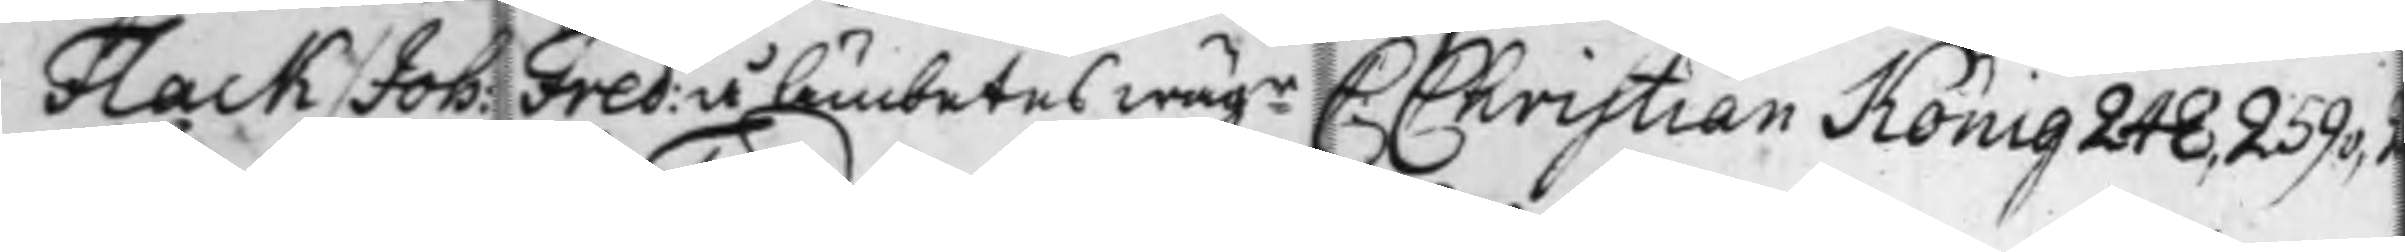Flack / Joh: Fred: å Ämbetes wägr C: Christian König 248, 259v, 2
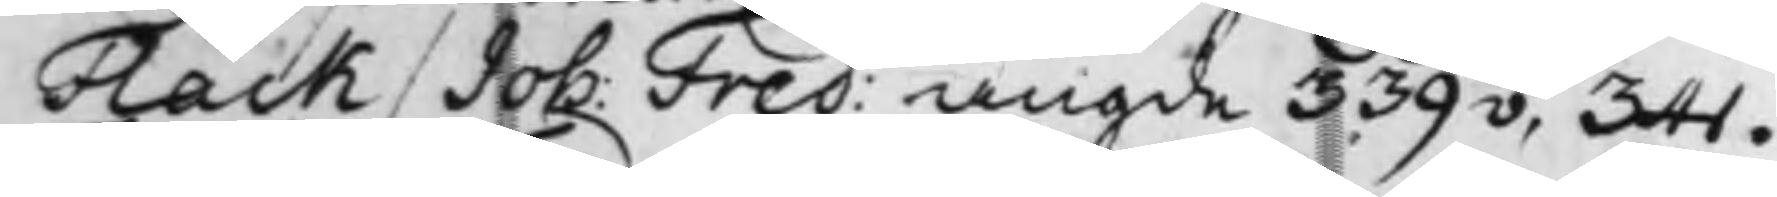Flack / Joh: Fred: angde 339v, 341.
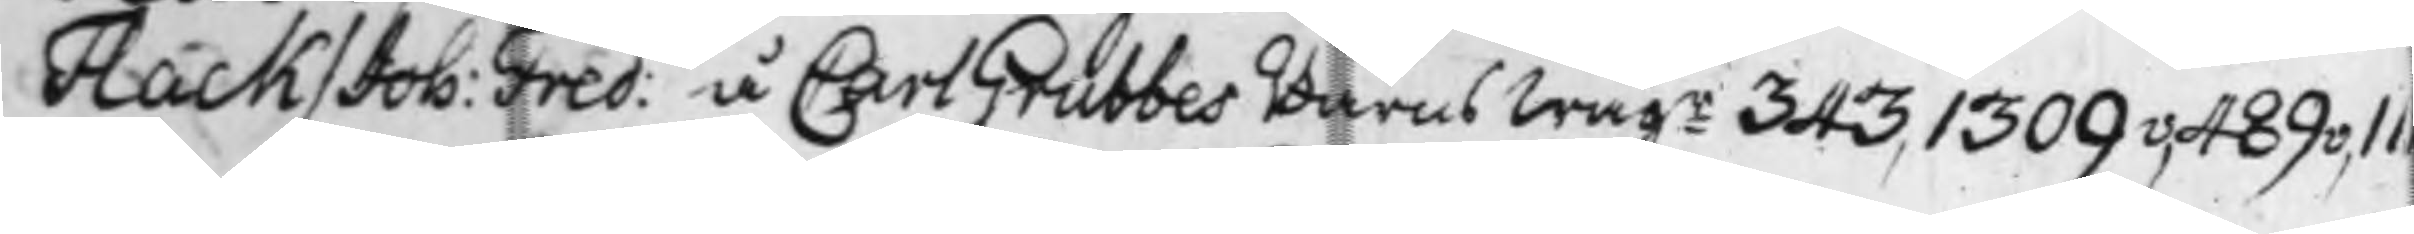Flack / Joh: Fred: å Carl Grubbes Barns wägr 343, 1309v, 489v, 111
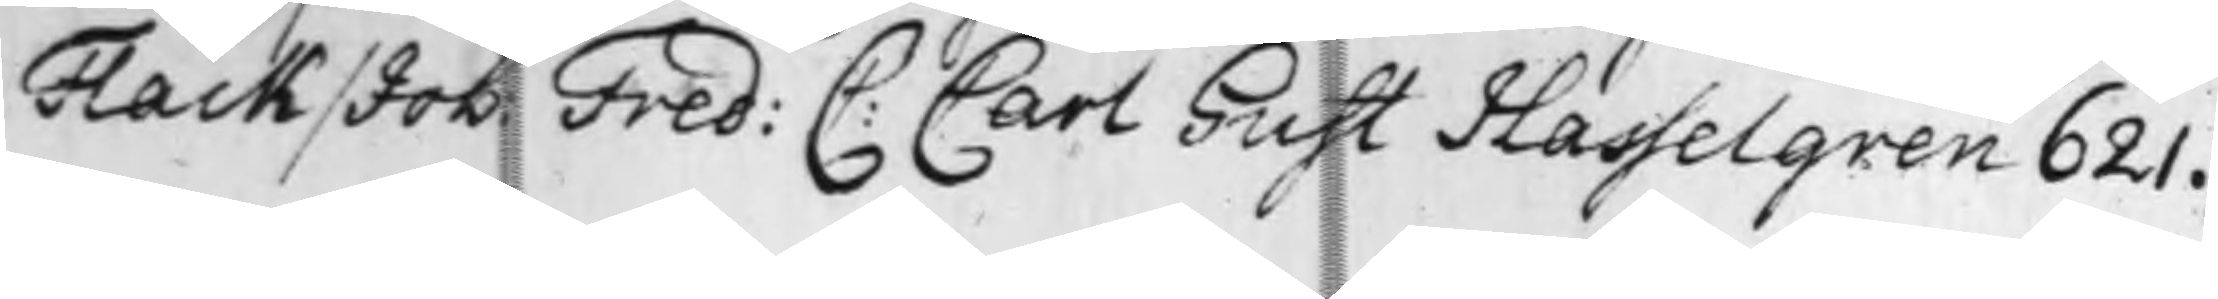Flack / Joh: Fred: C: Carl Gust Hasselgren 621.
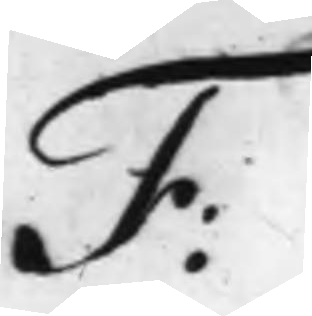F:
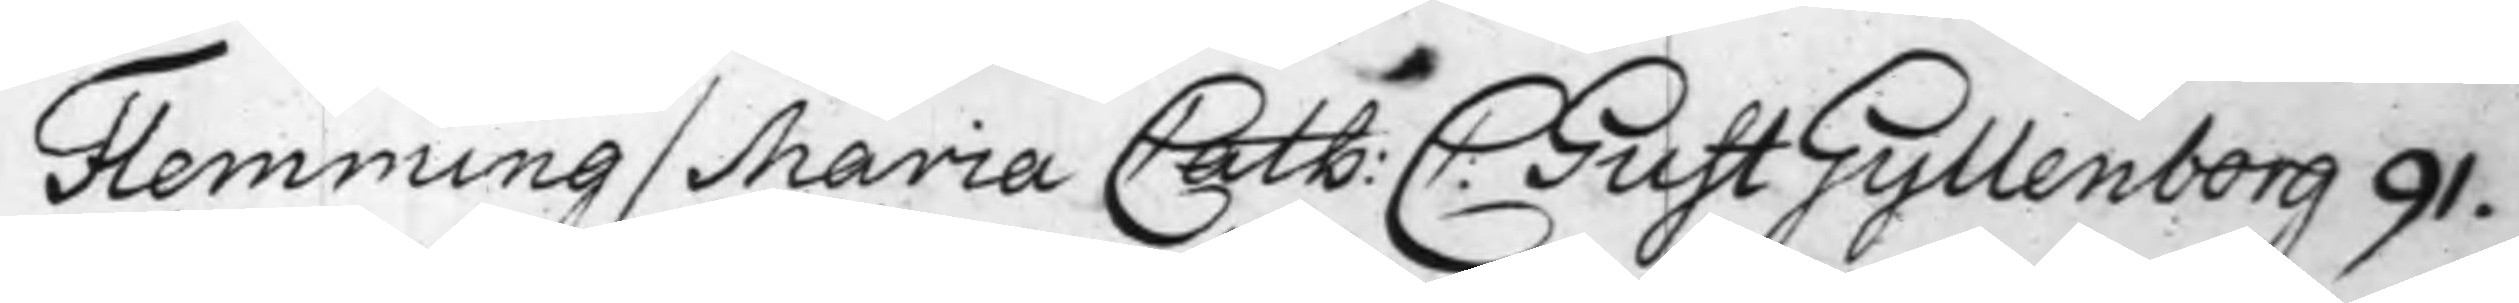Flemming / Maria Cath: C: Gust Gyllenberg 91.
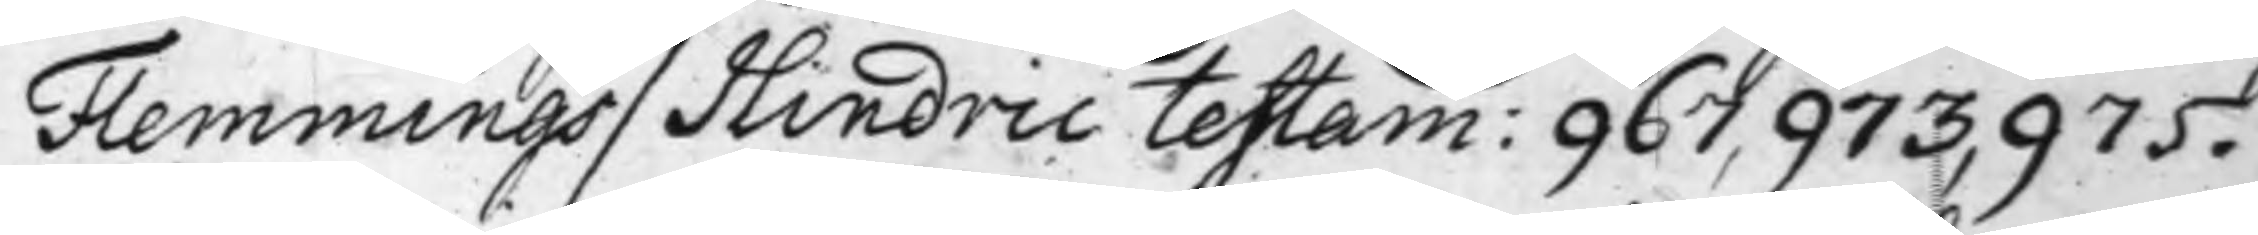Flemmings / Hindric testam: 967, 973, 975.
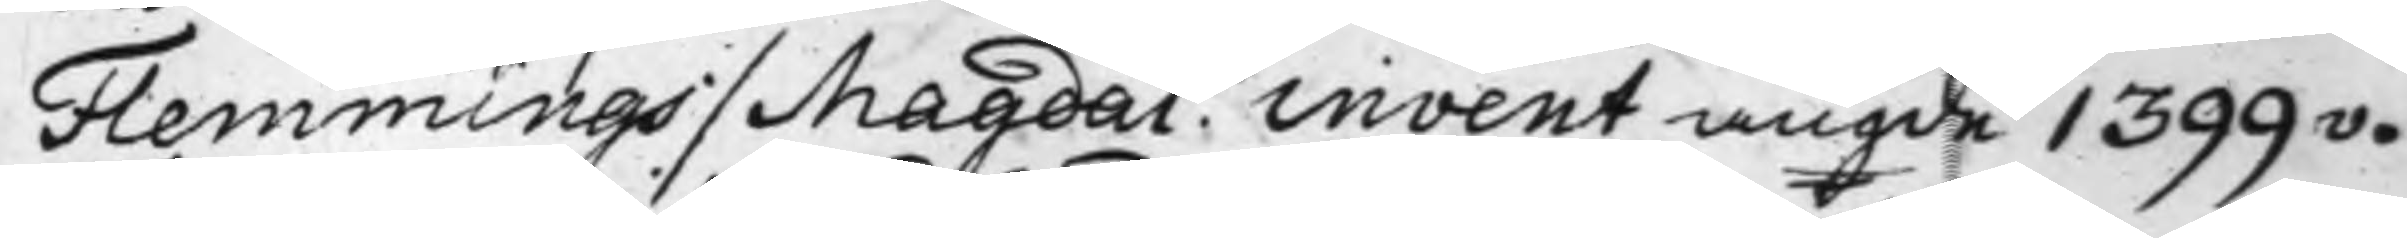Flemmings / Magdal. invent angde 1399v.
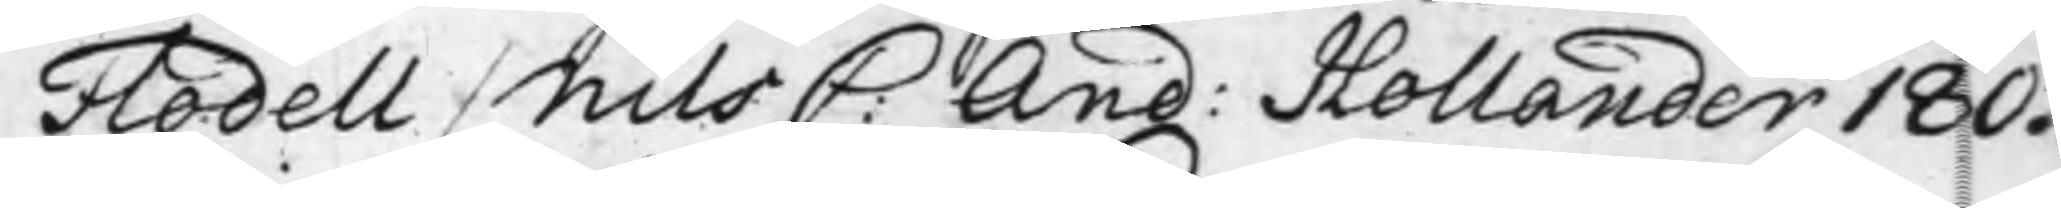Flodell / Nils C: And: Hollander 180.
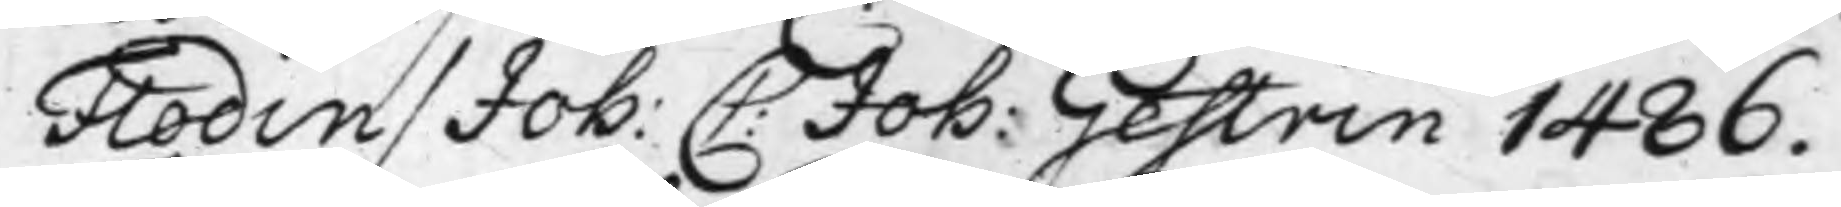Flodin / Joh: C: Joh: Gestrin 1486.
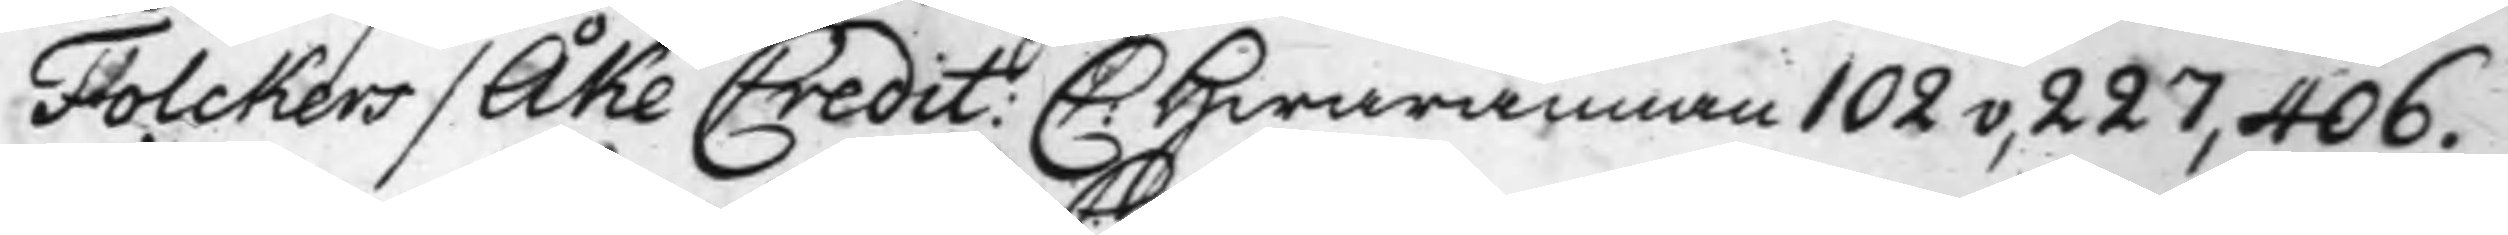Folckers/ Åke Credit: C: Hwarannan 102v, 227, 406.
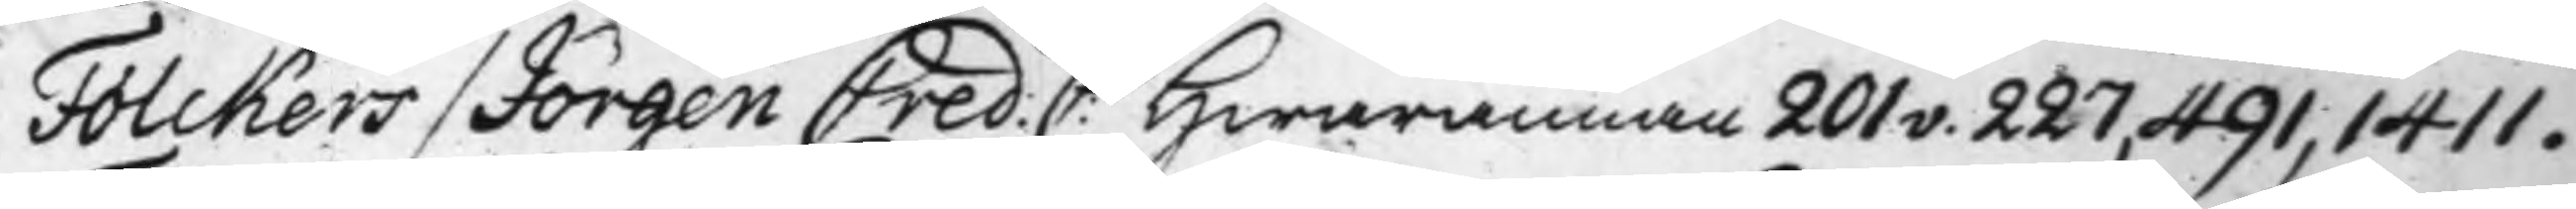Folckers/ Jörgen Cred: C: Hwarannan 201v. 227, 491, 1411.
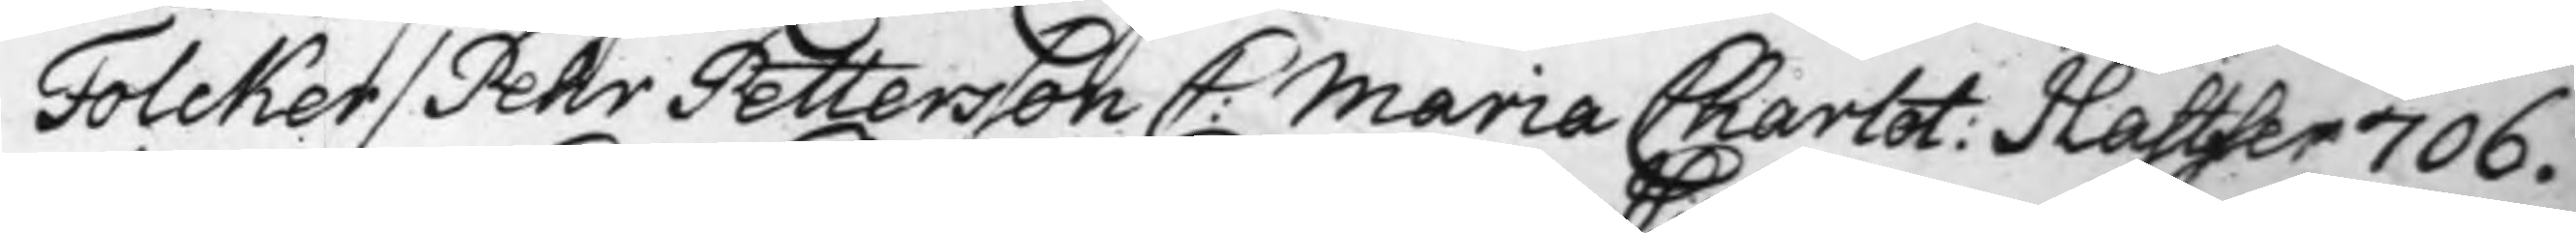Folcker / Pehr Pettersson C: Maria Charlot: Hastfer 706.
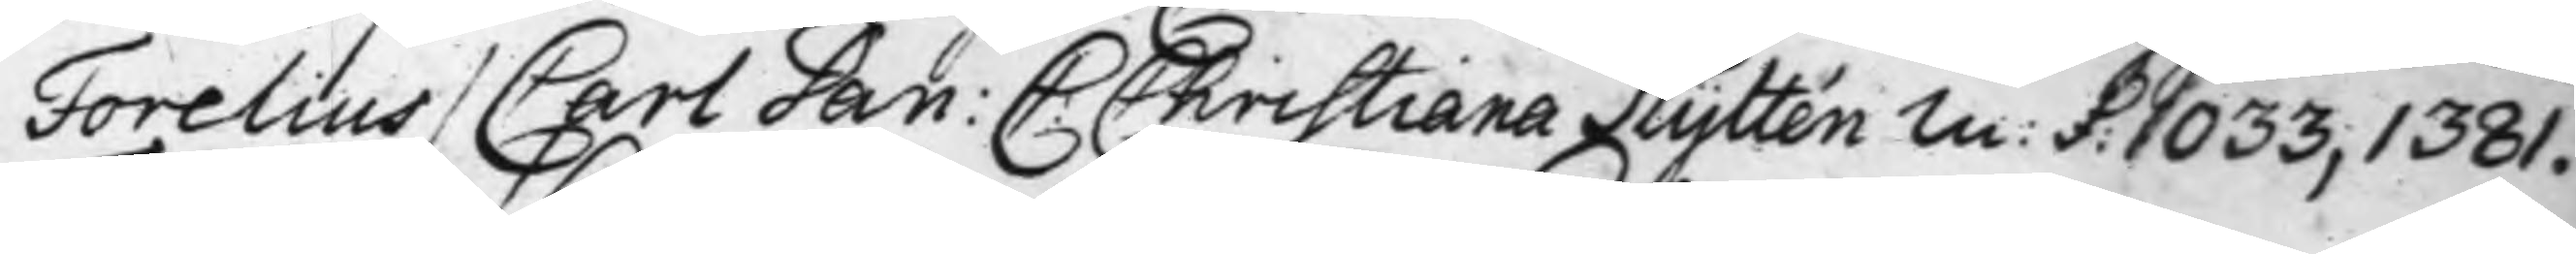Forelius / Carl Dan: C: Christiana Hyltén m: f: 1033, 1381.
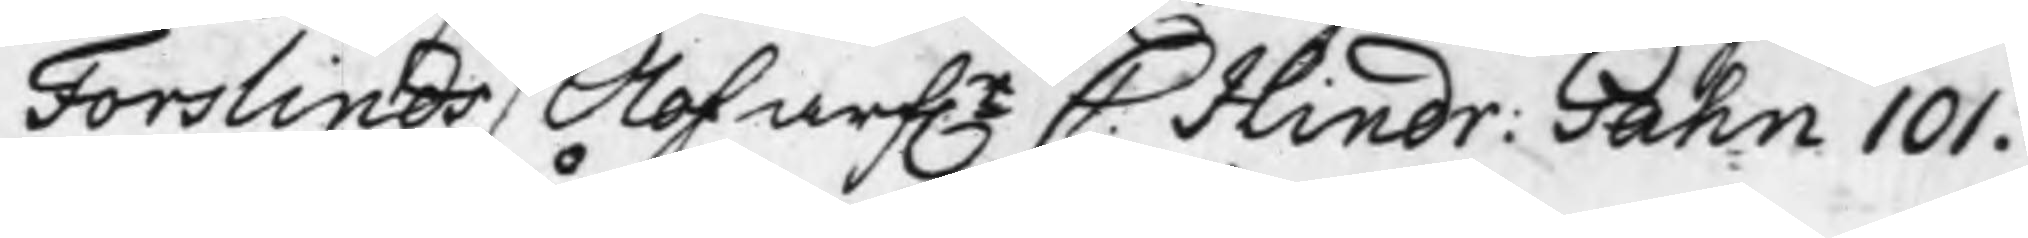Forslinds / Olof arf.r C. Hindr: Gahn 101.
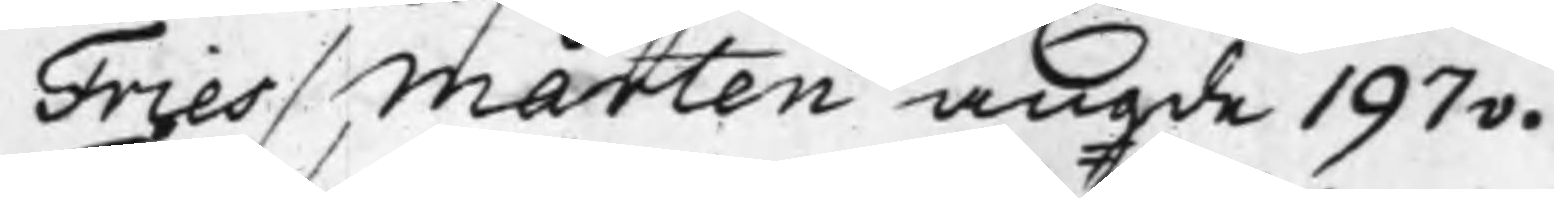Fries / Mårten angde 197v.
